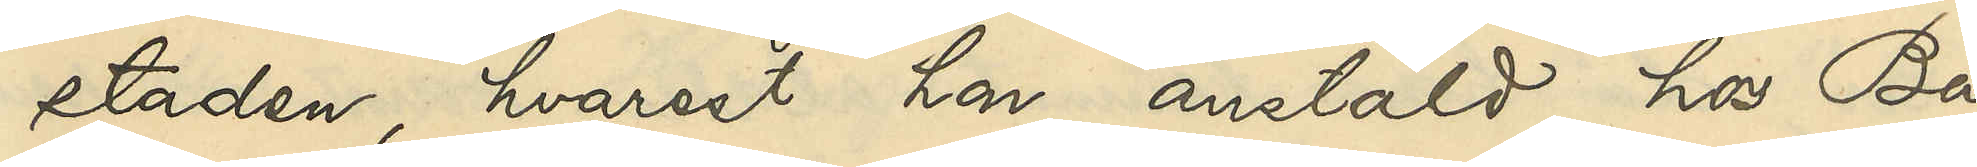staden, hvarest hon, anstäld hos Ba¬
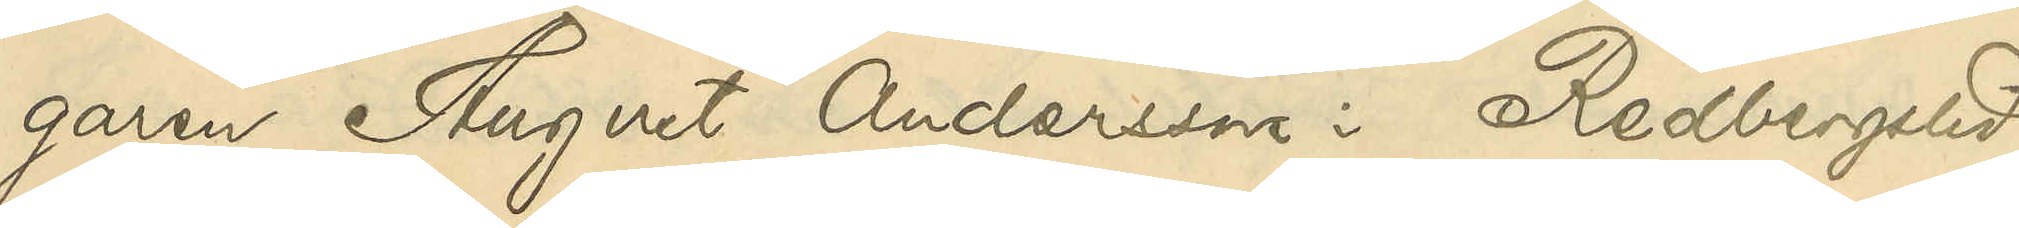garen August Andersson i Redbergslid,
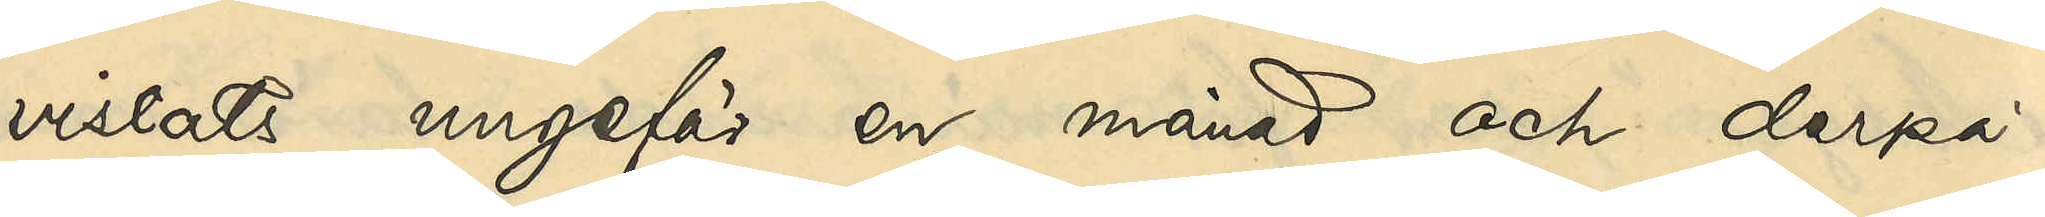vistats ungefär en månad och derpå
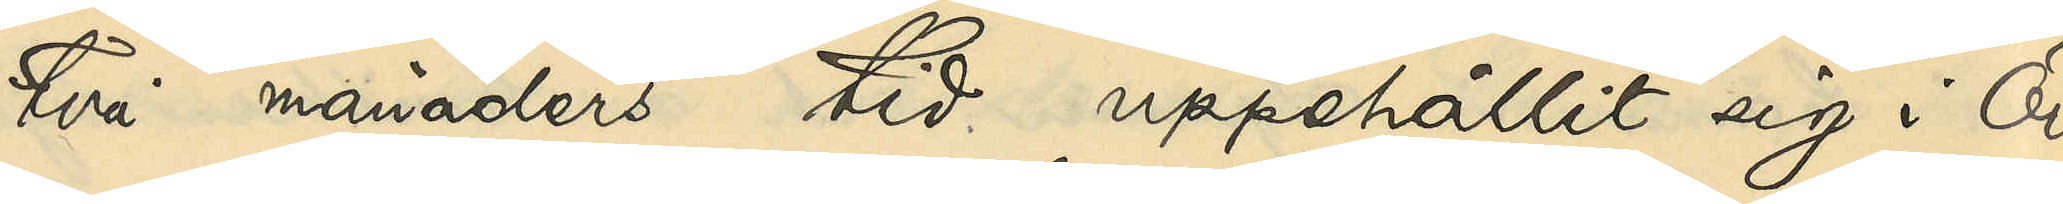två månaders tid uppehållit sig i Ör¬
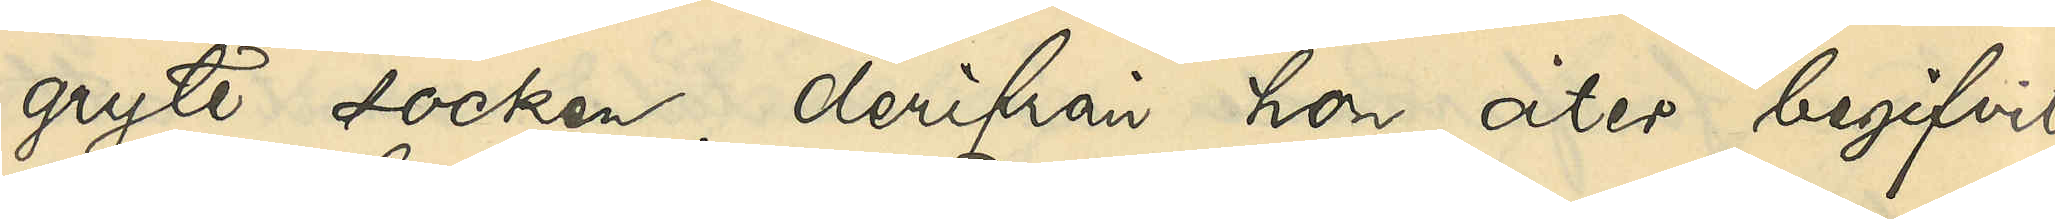gryte socken, derifrån hon åter begifvit
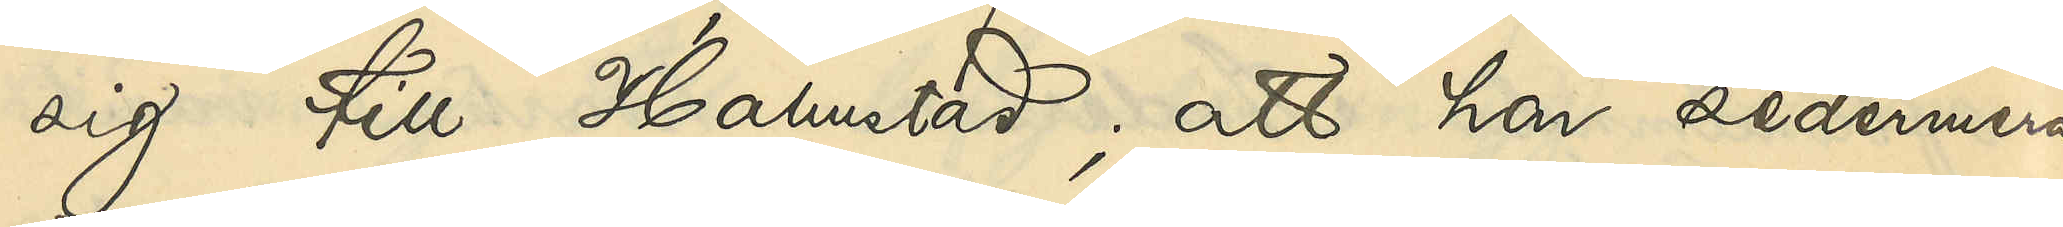sig till Halmstad; att hon sedermera
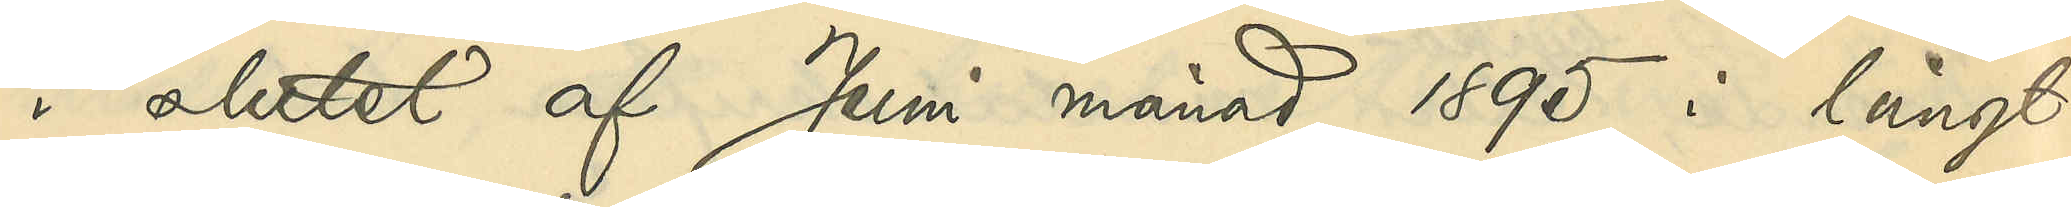i slutet af Juni månad 1895 i långt
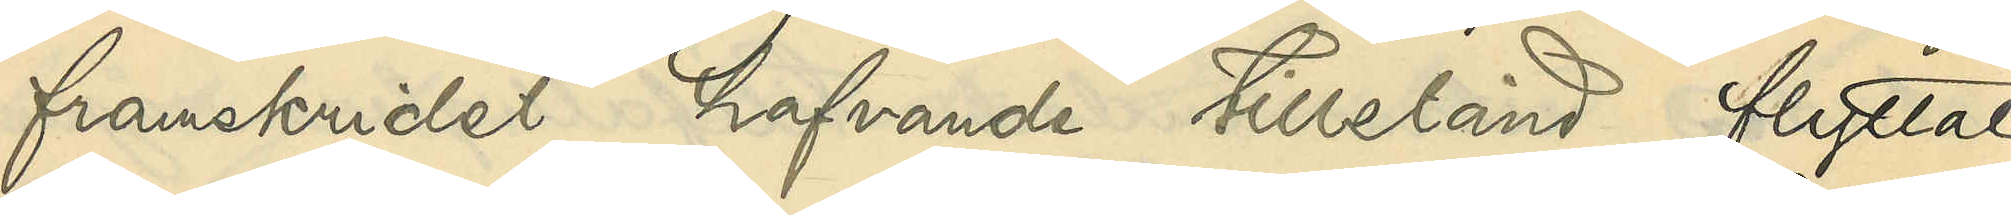framskridet hafvande tillstånd flyttat
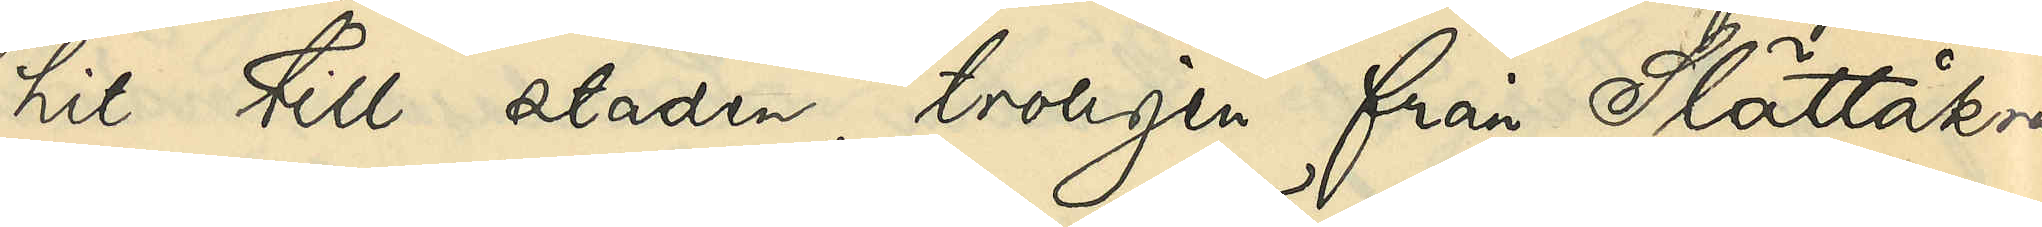hit till staden, troligen från Slättåkra
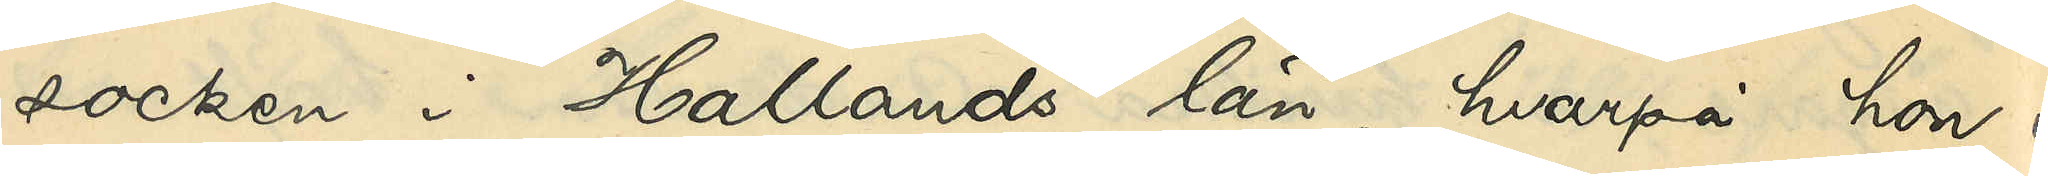socken i Hallands län, hvarpå hon i
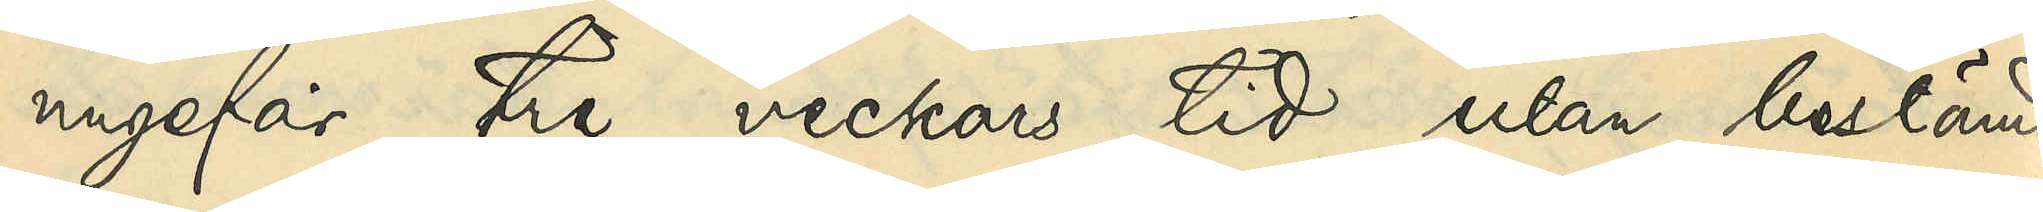ungefär tre veckors tid utan bestämd
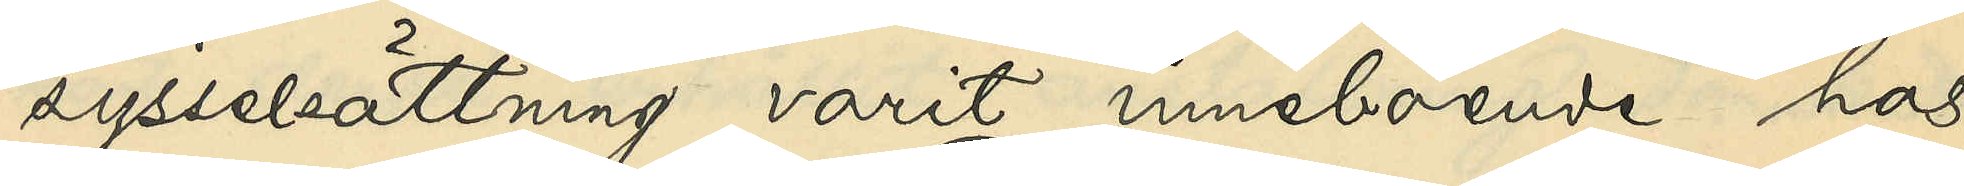sysselsättning varit inneboende hos
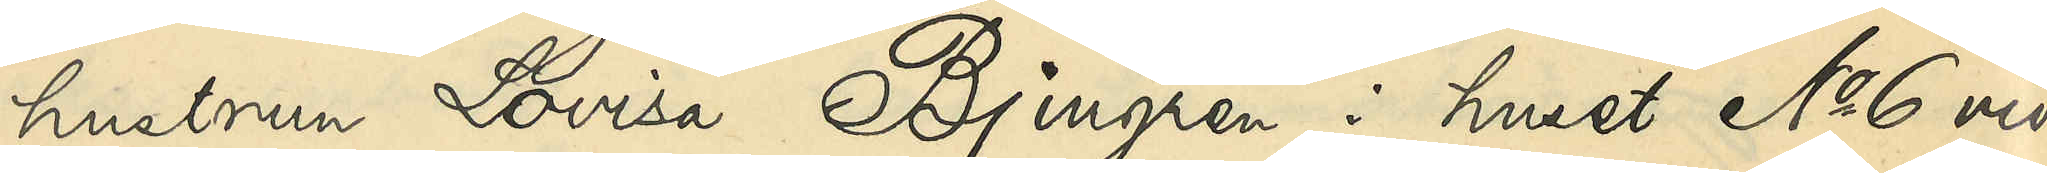hustrun Lovisa Bjurgren i huset No 6 vid
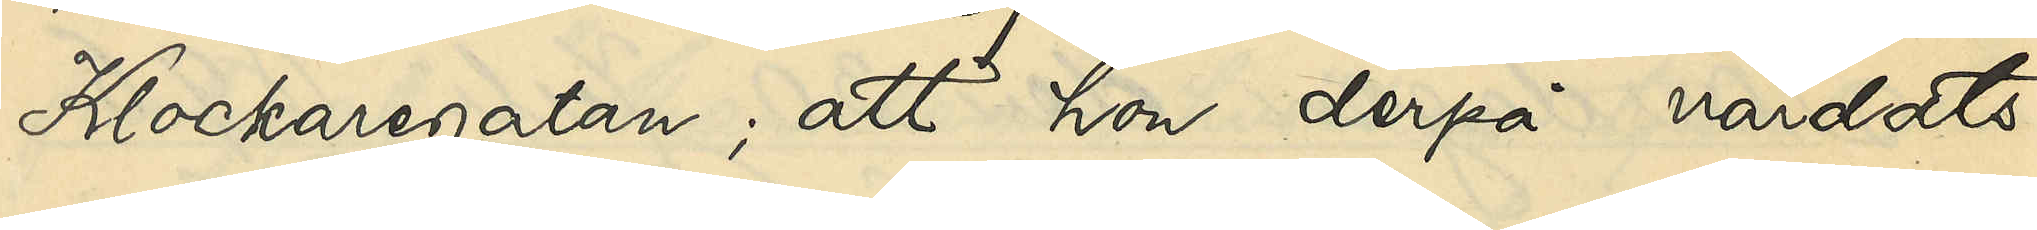Klockaregatan; att hon derpå vårdats
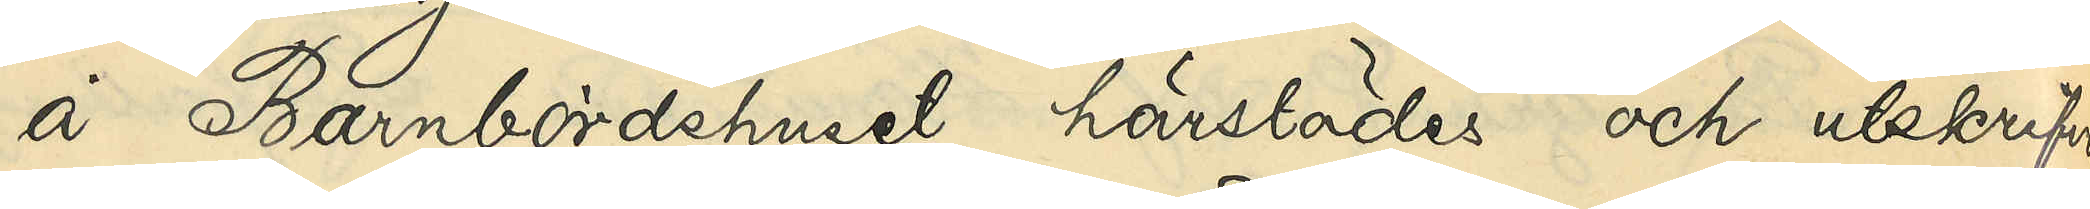å Barnbördshuset härstädes och utskrifven
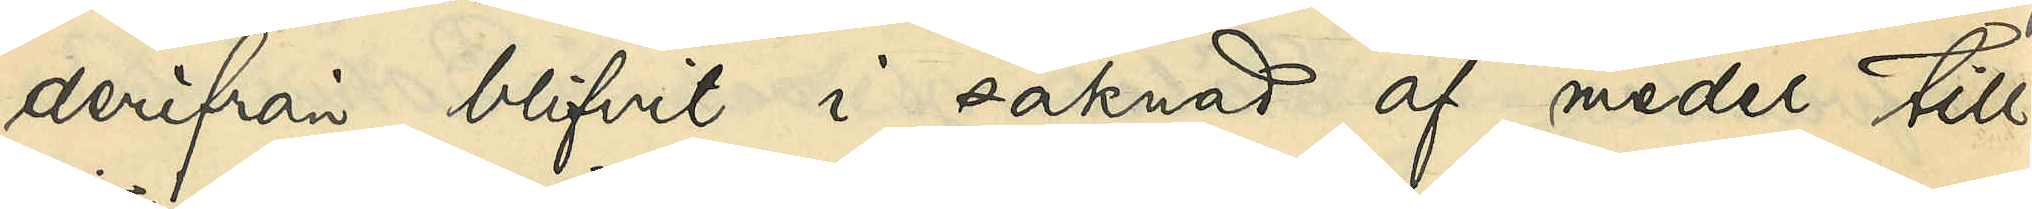derifrån blifvit i saknad af medel till
